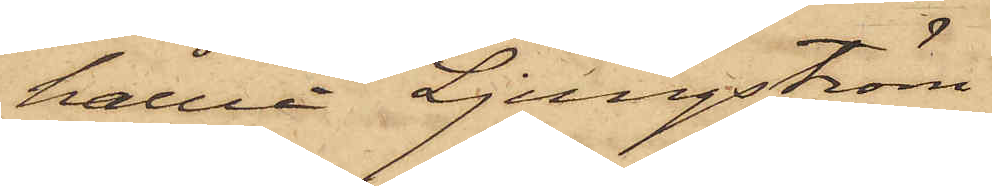hållit Ljungström.
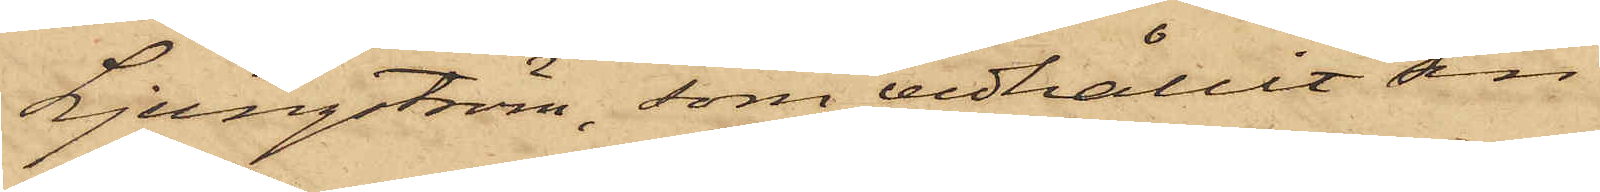Ljungström, som vidhållit sin
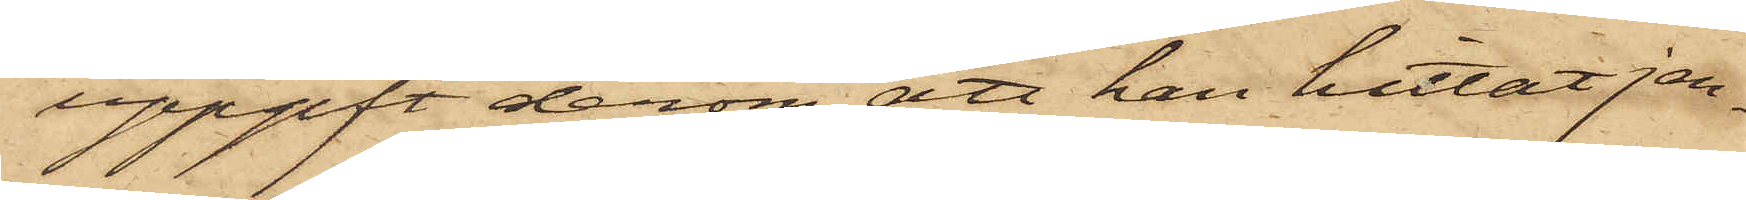uppgift derom, att han hittat jer¬
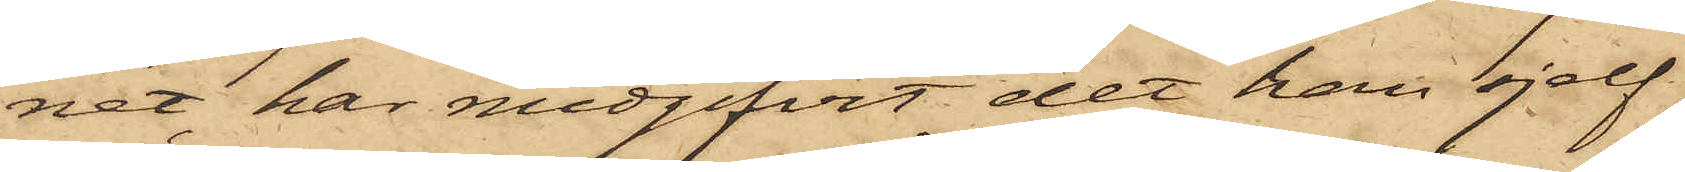net, har medgifvit det han sjelf
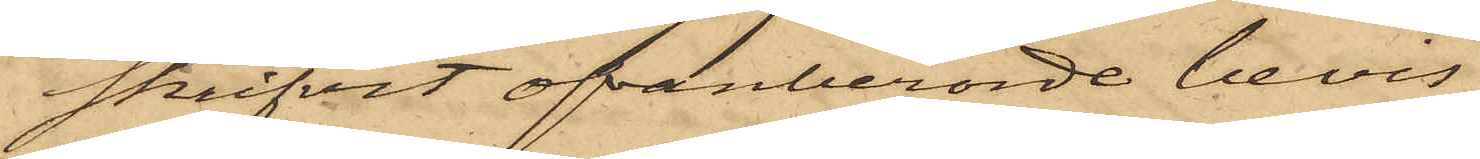skrifvit ofvanberörde bevis
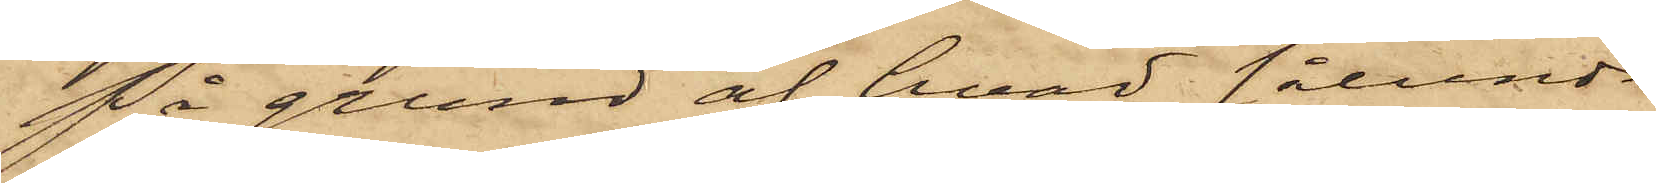På grund af hvad sålunda
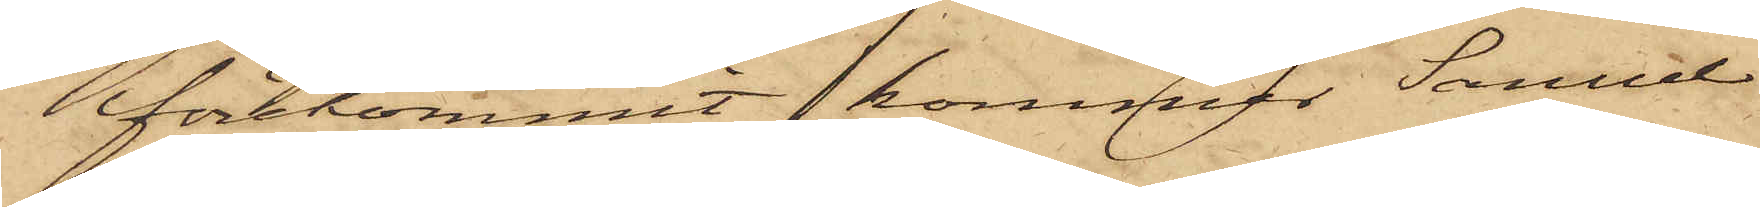förekommit, kommer Samuel
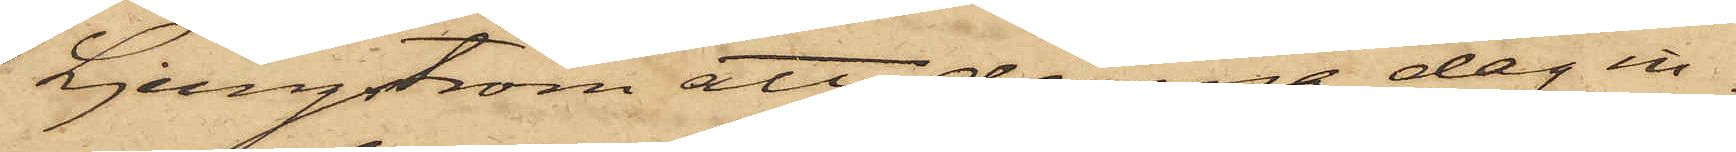Ljungström att denna dag in¬
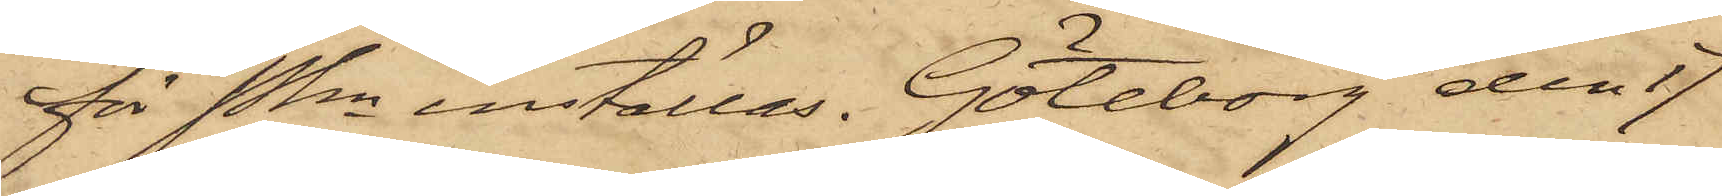för Pkn inställas. Göteborg den 17
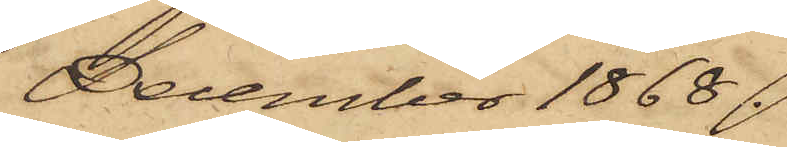December 1868.
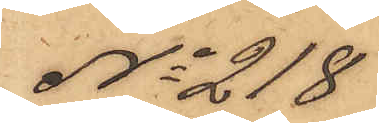No 218
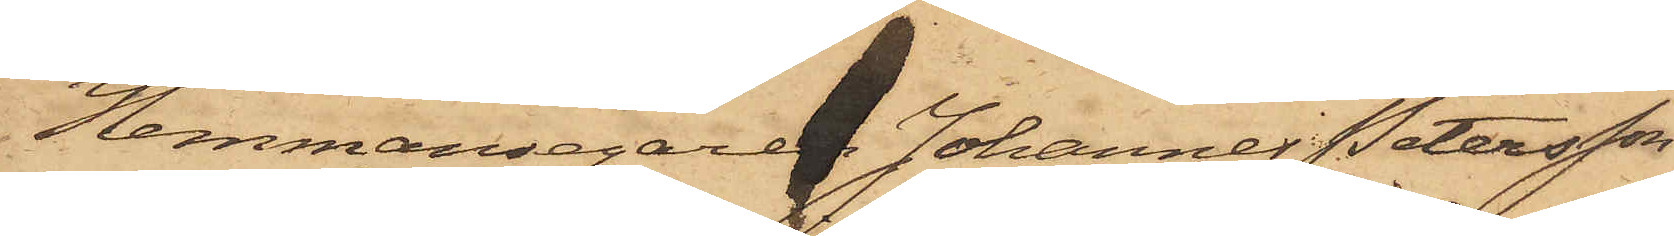Hemmansägaren Johannes Petersson
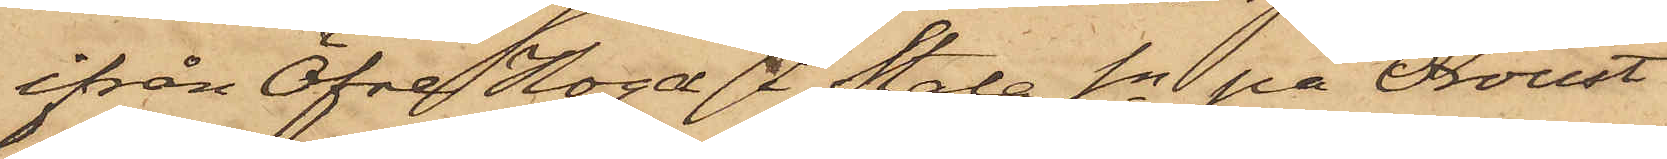ifrån Öfre Hoga i Stala Sn på Oroust
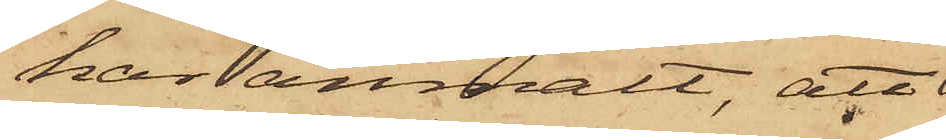har anmält, att
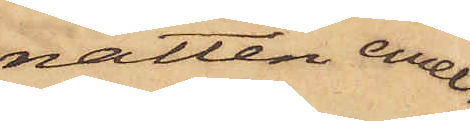natten emel¬
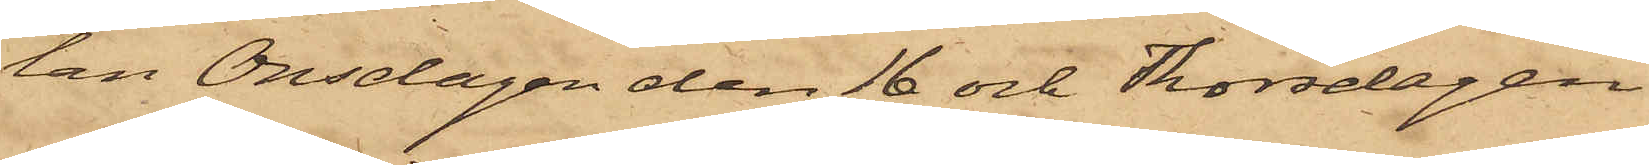lan Onsdagen den 16 och Thorsdagen
